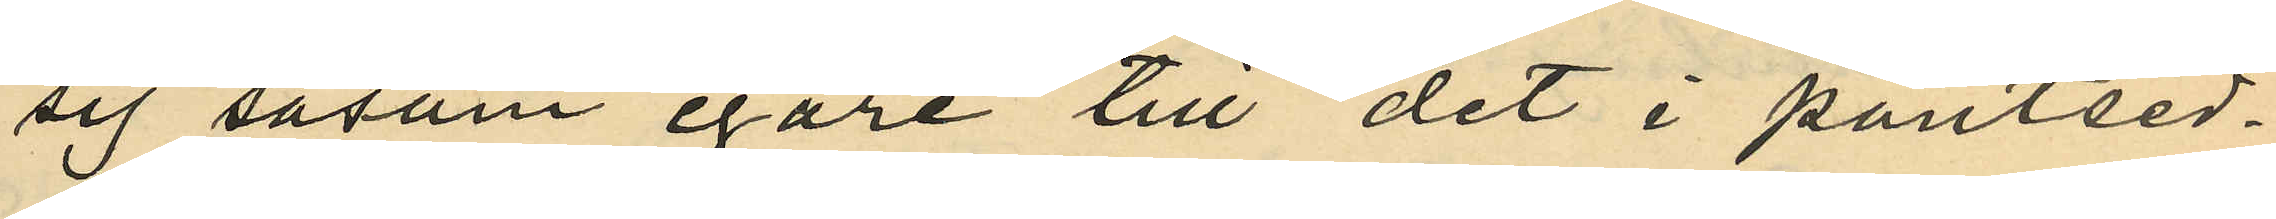sig såsom egare till det i pantsed¬
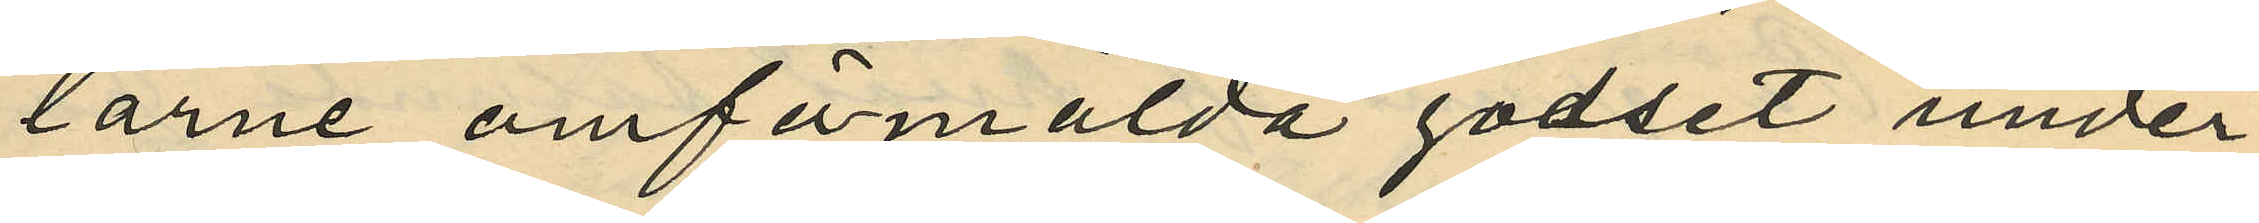larne omfömälda godset under
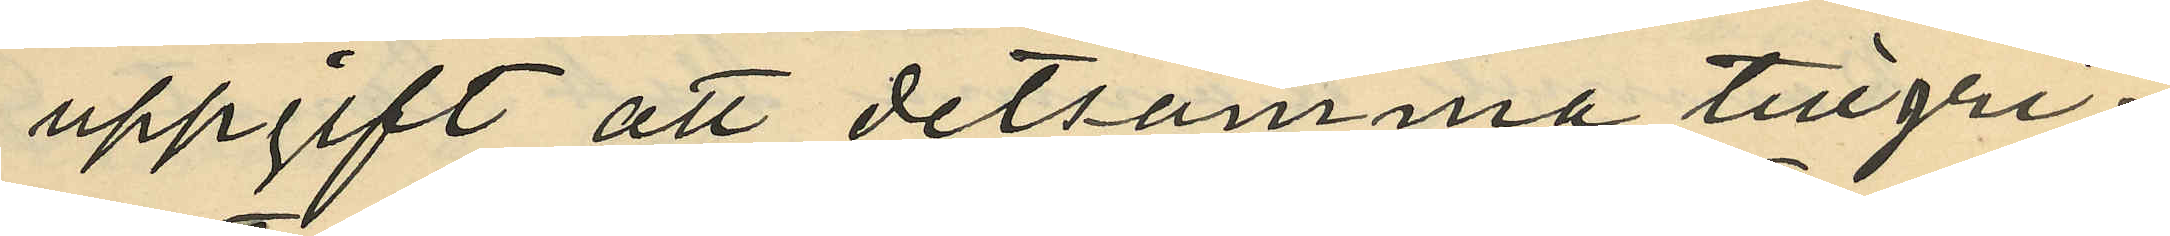uppgift att detsamma tillgri¬
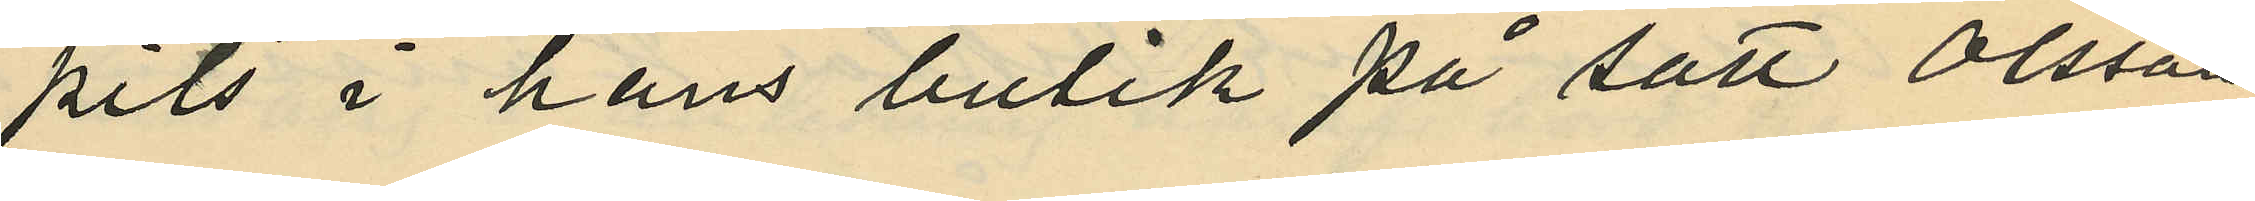pits i hans butik på sätt Olsson
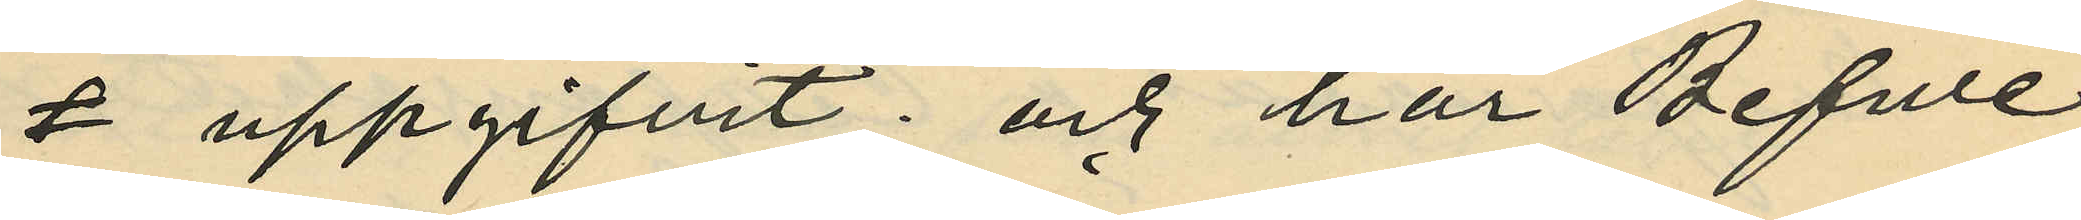uppgifvit: och har Befwe
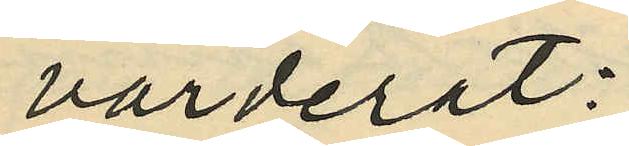värderat:
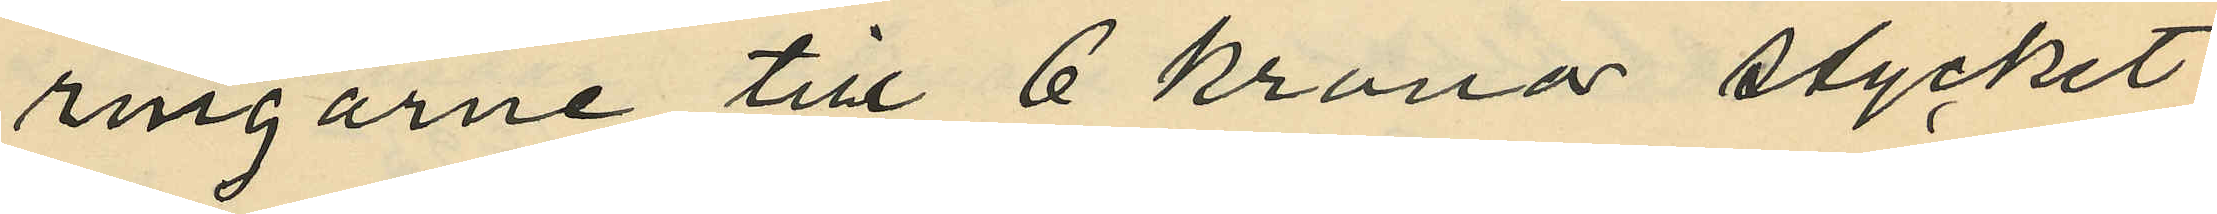ringarne till 6 kronor stycket
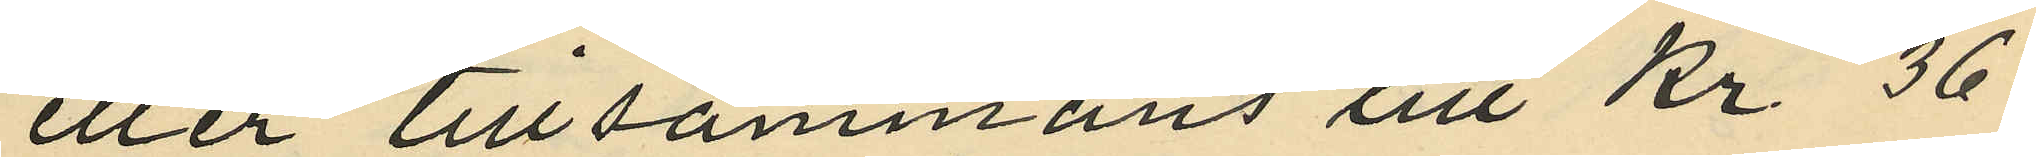eller tillsammans till Kr 36:
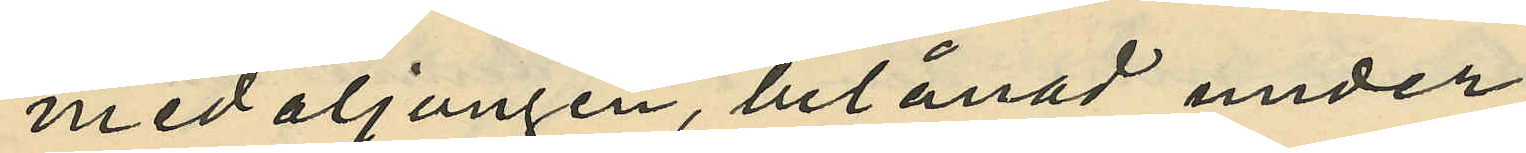medaljongen, belånad under
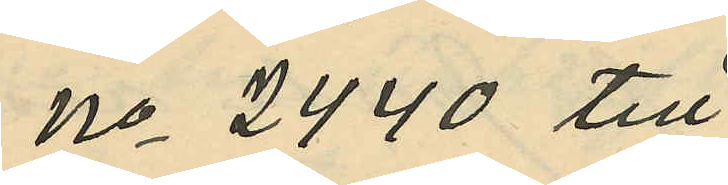No 2440 till
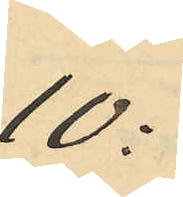10:
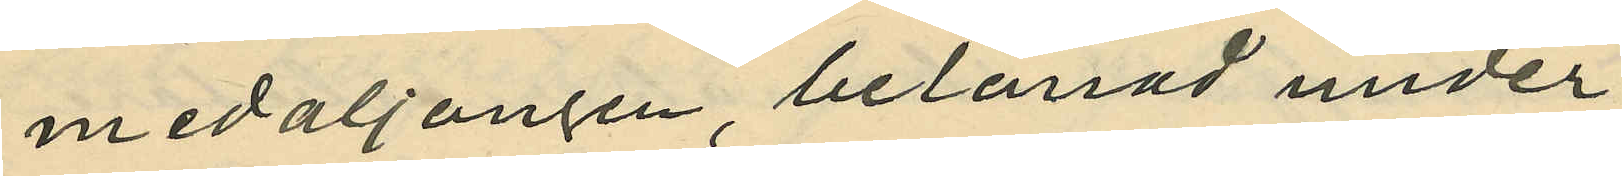medaljongen belånad under
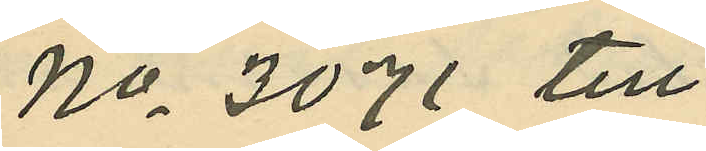No 3071 till
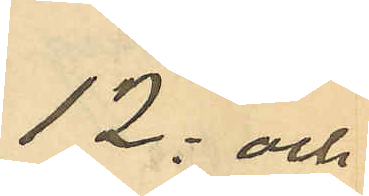12: och
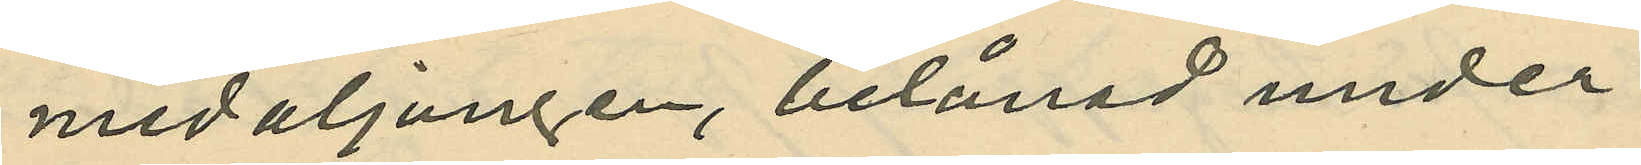medaljongen, belånad under
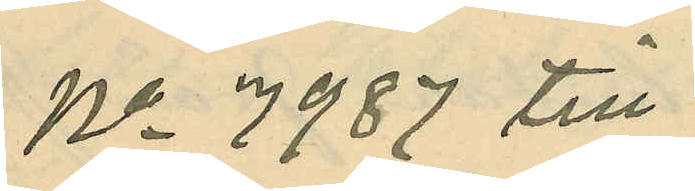No 7987 till
